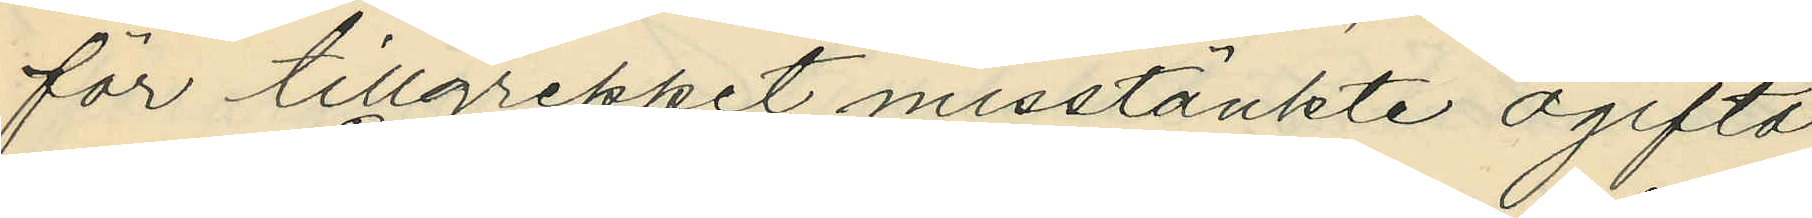för tillgreppet misstänkte ogifta
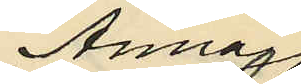Anna
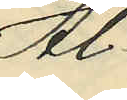Al¬
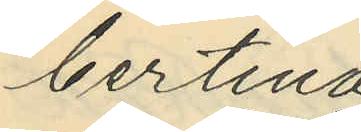bertina
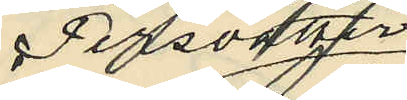Persdotter
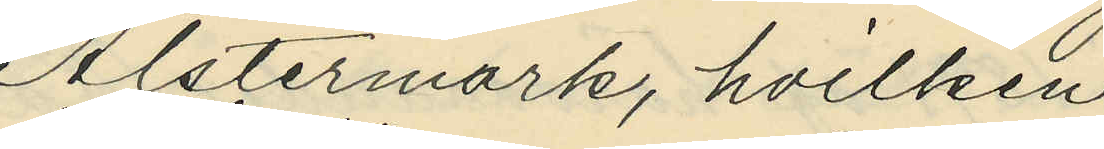Alstermark, hvilken
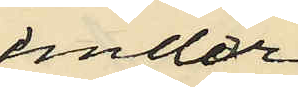under
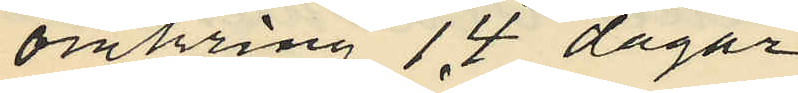omkring 14 dagar
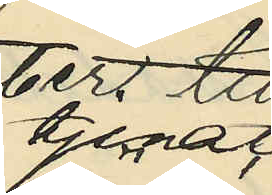tjenat
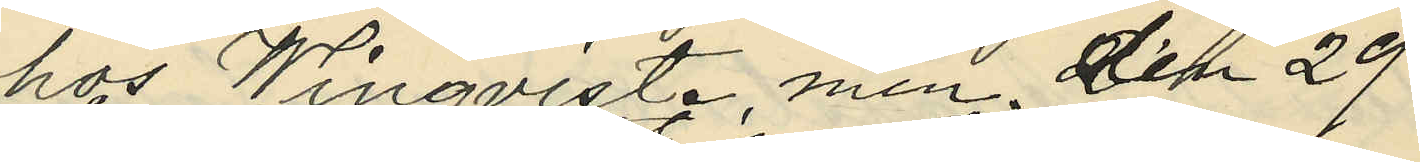hos Winqvist, men den 29 i
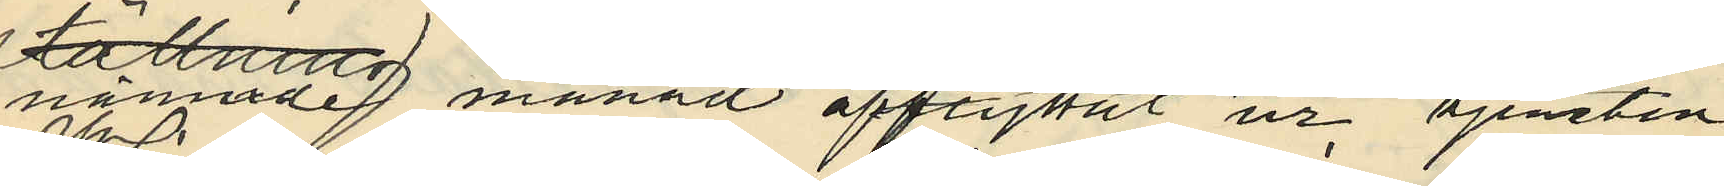nämnde månad afflyttat ur tjensten
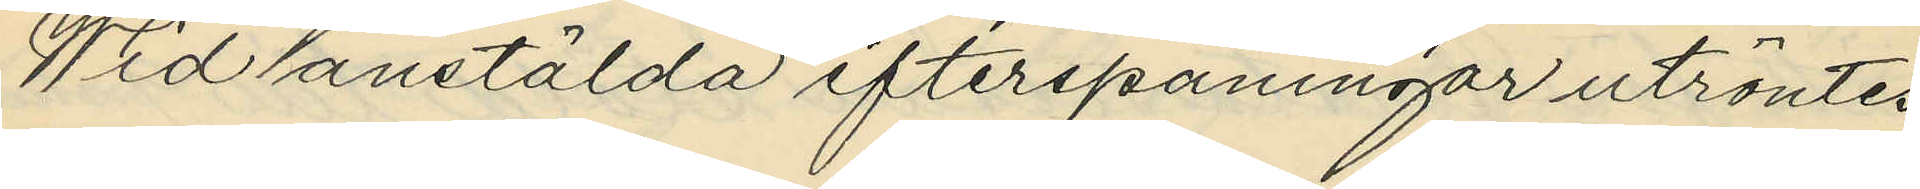Wid anstälda efterspaningar utröntes
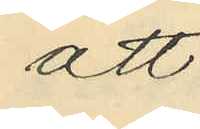att
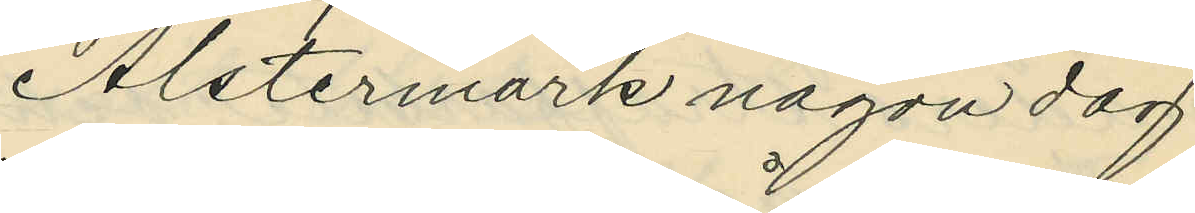Alstermark någon dag
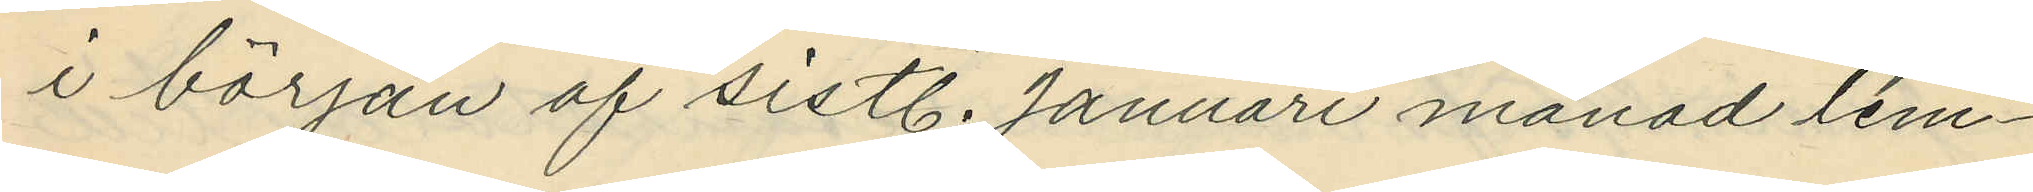i början af sistl. Januari månad lem¬
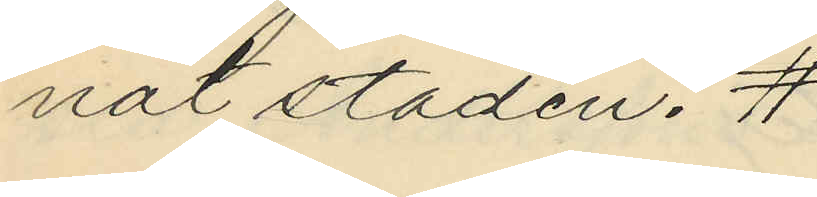nat staden. #
